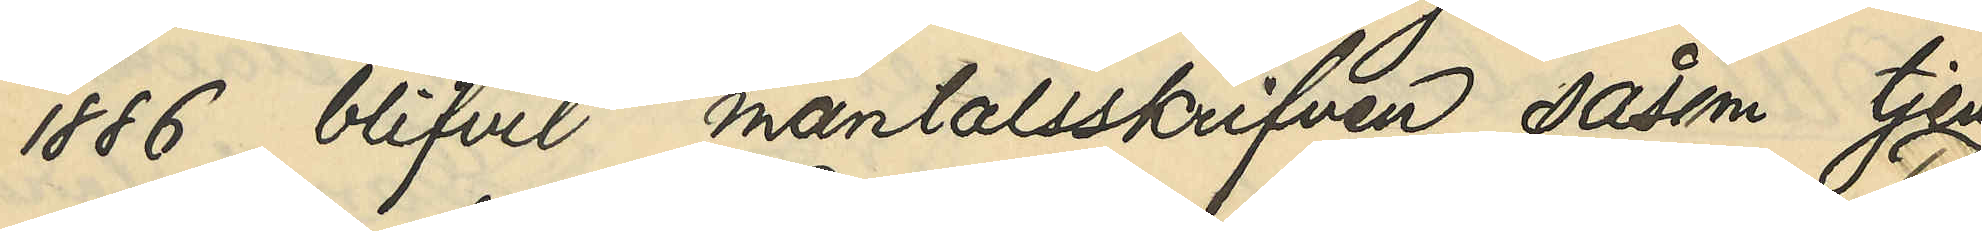1886 blifvit mantalsskrifven såsom tjen¬
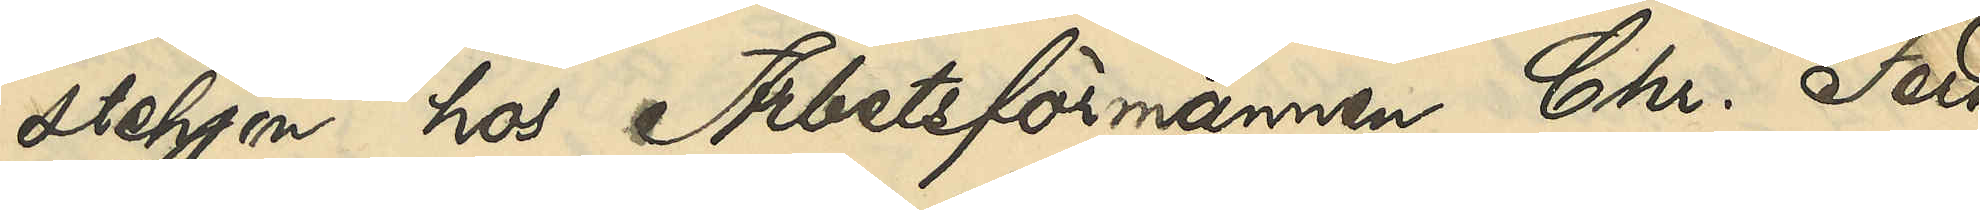stehjon hos Arbetsförmannen Chr. Ferd.
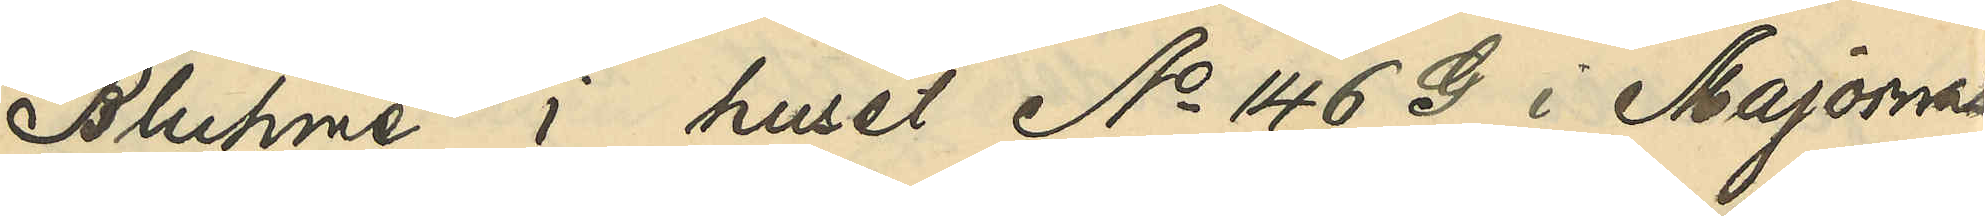Bluhme i huset No 146 G i Majornas
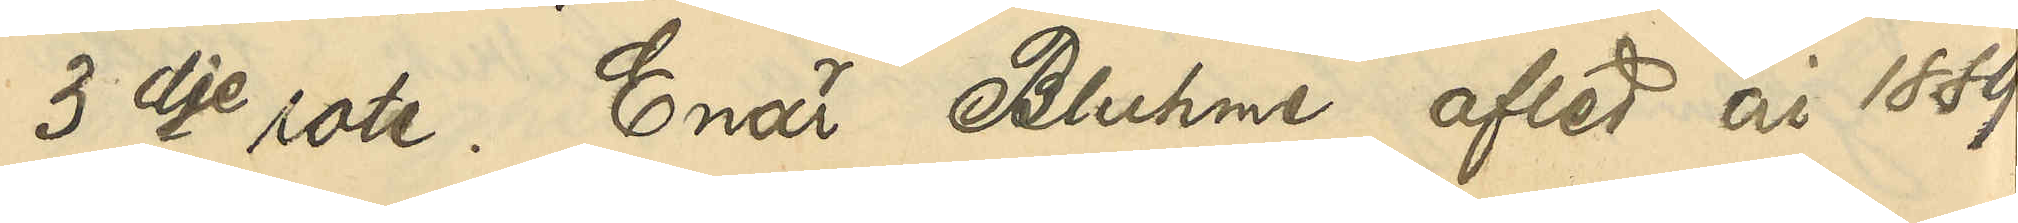3dje rote. Enär Bluhme afled år 1889
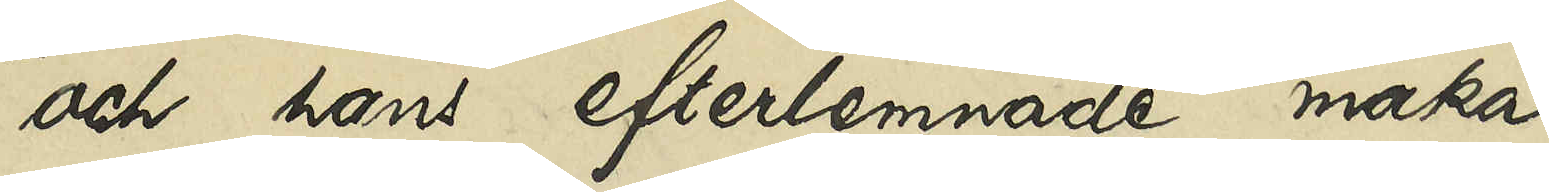och hans efterlämnade maka
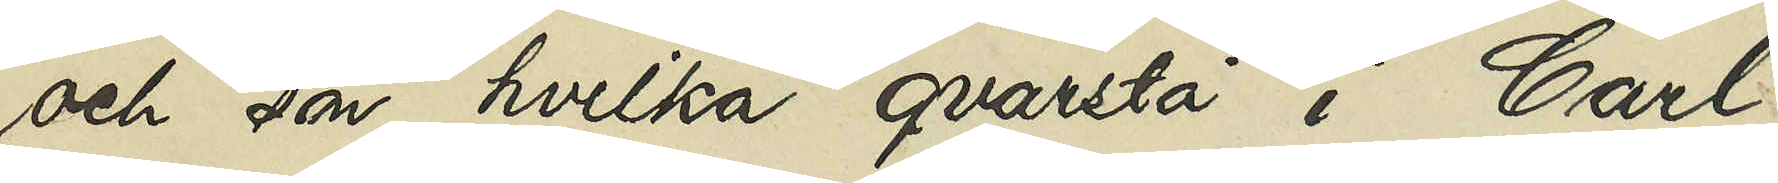och son, hvilka qvarstå i Carl
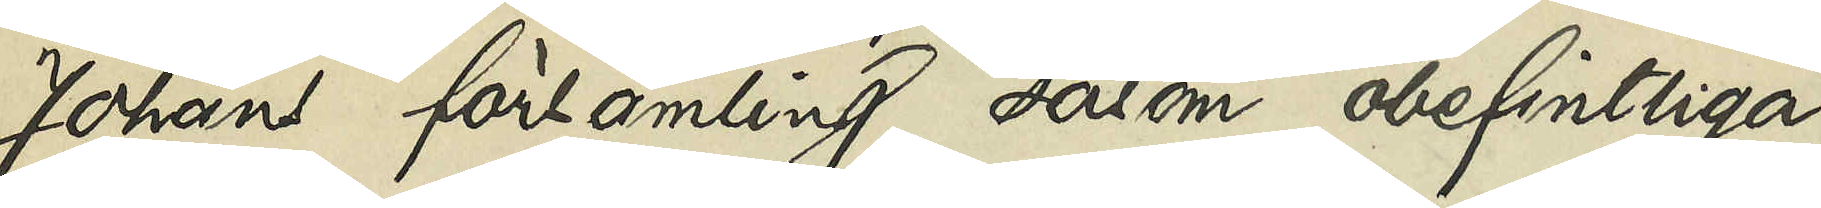Johans församling såsom obefintliga,
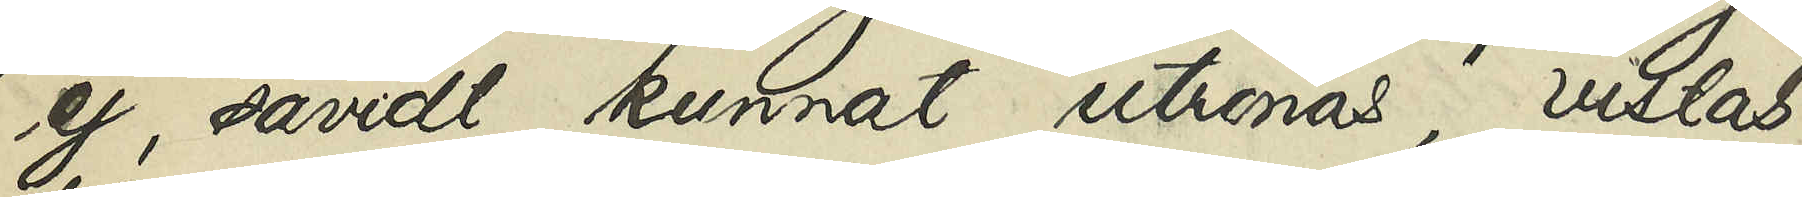ej såvidt kunnat utrönas, vistas
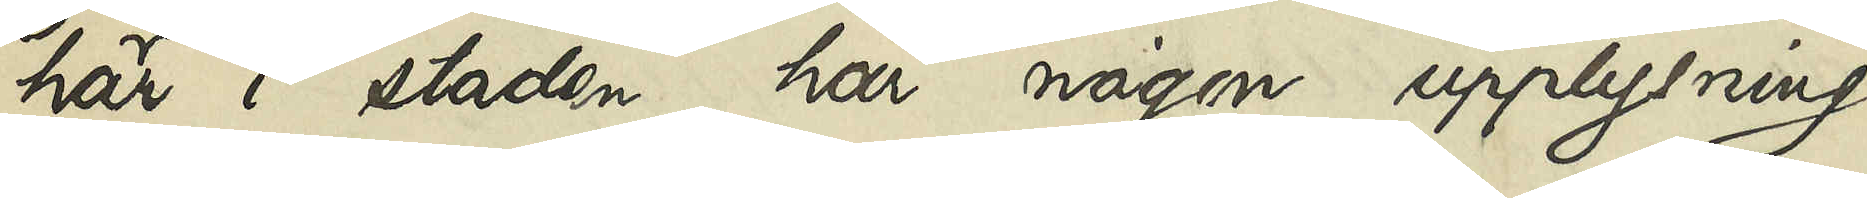här i staden, har någon upplysning
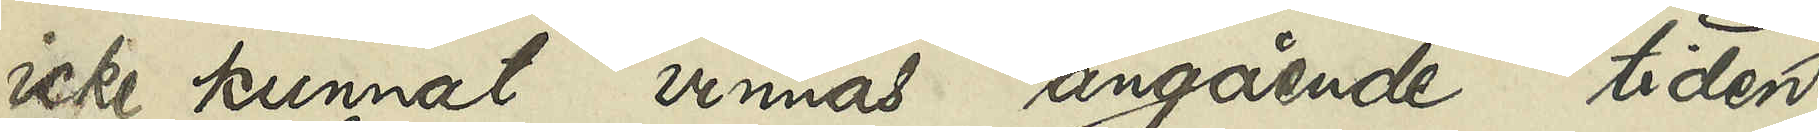icke kunnat vinnas angående tiden
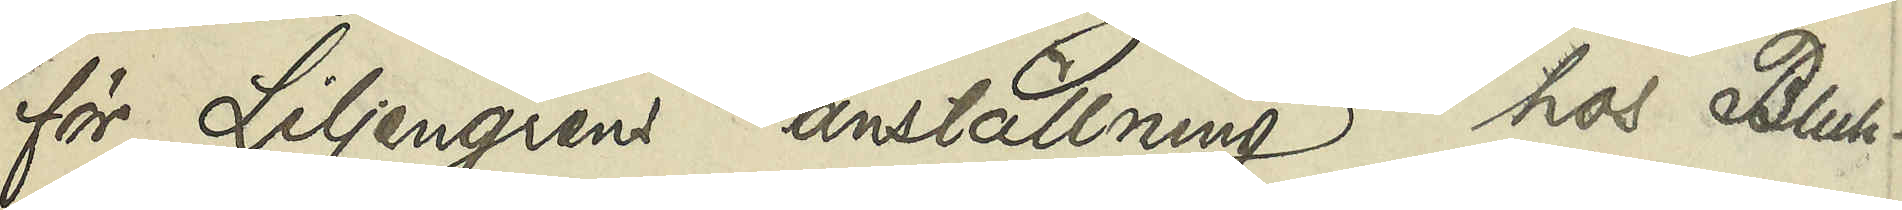för Liljengrens anställning hos Bluh¬
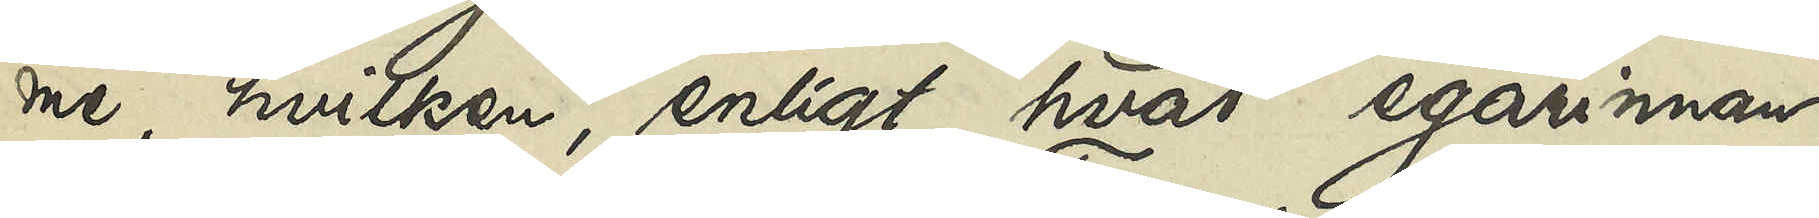me, hvilken enligt hvad egarinnan
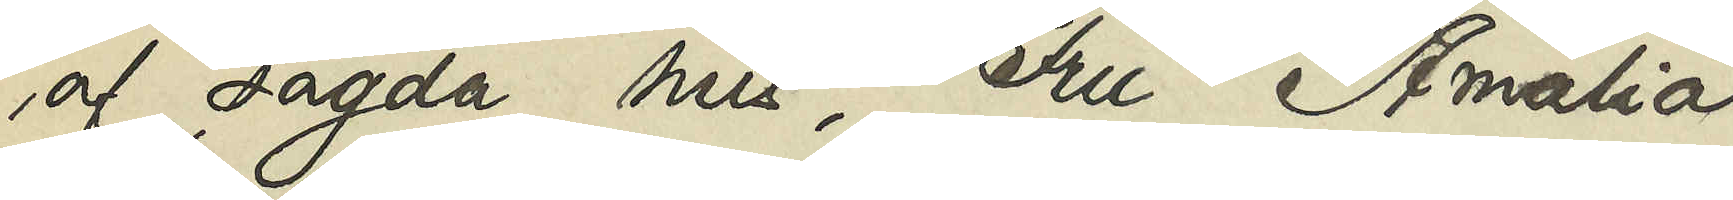af sagda hus, Fru Amalia
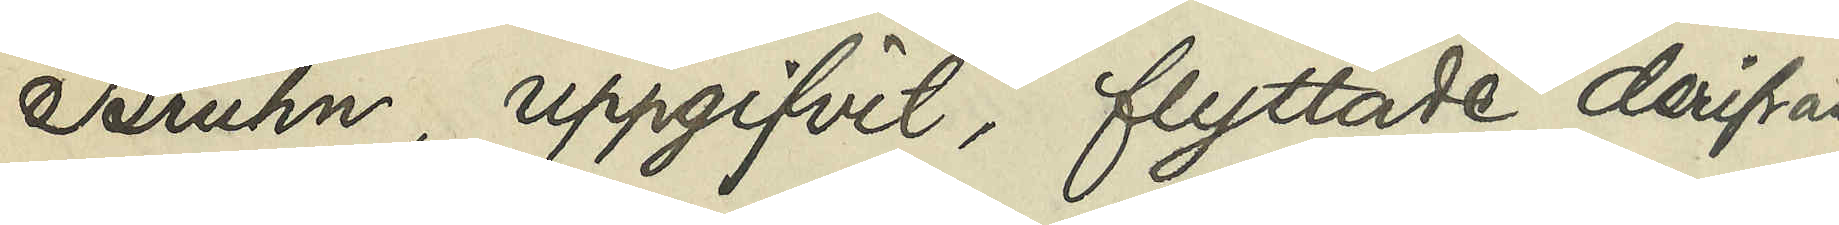Bruhn, uppgifvit, flyttade derifrån
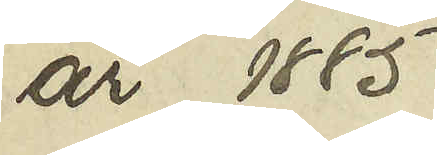år 1885.
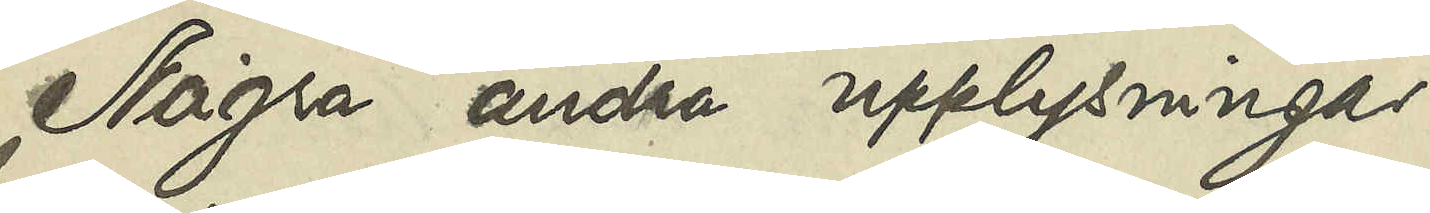Några andra upplysningar
